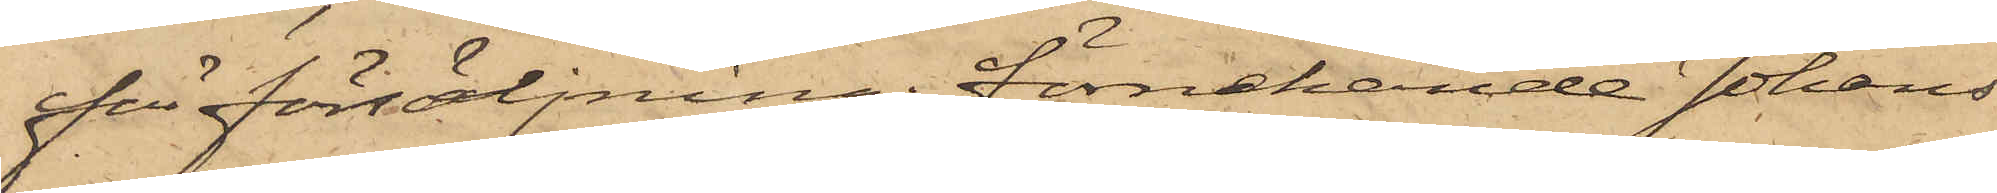för försäljning, förnekande Johans¬
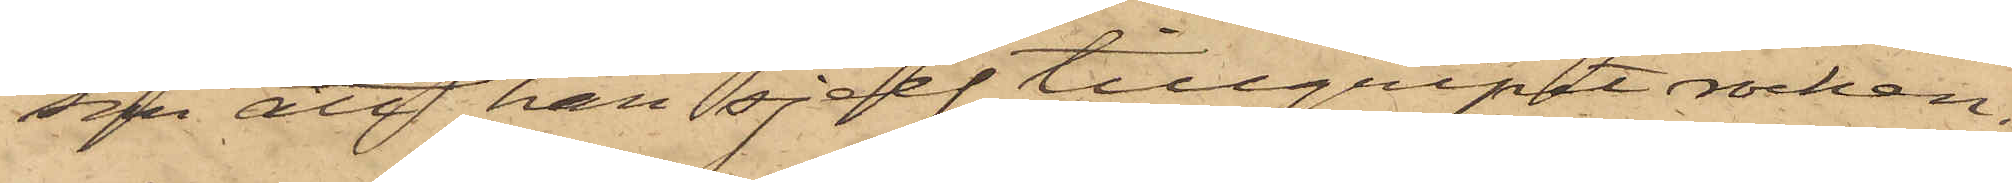son att han sjelf tillgripit rocken.
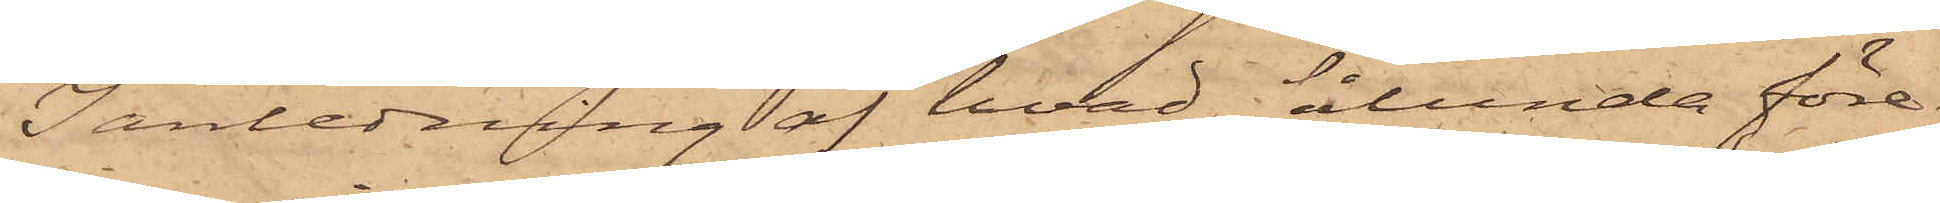I anledning af hvad sålunda före¬
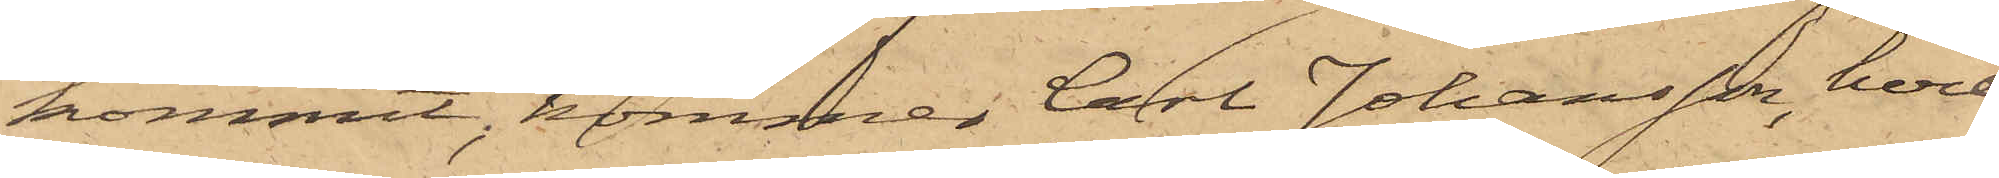kommit, kommer Carl Johansson, hvil¬
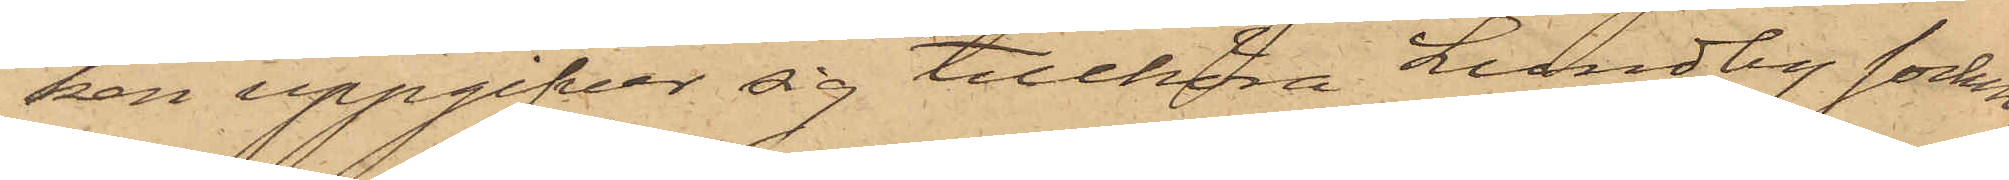ken uppgifver sig tillhöra Lundby socken,
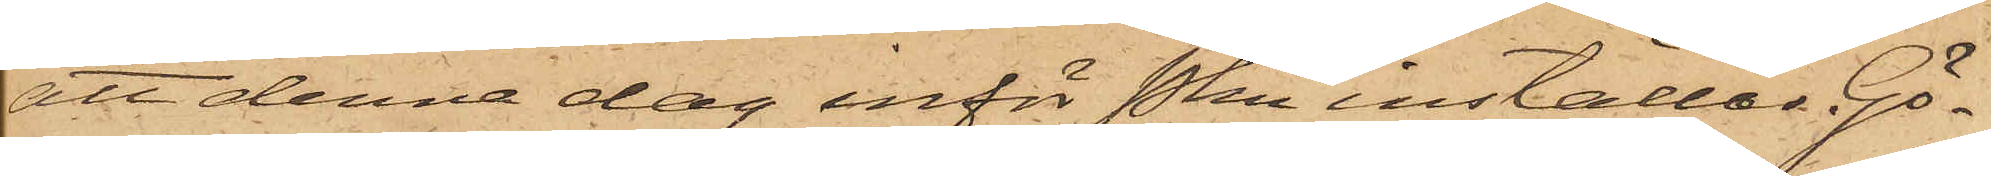att denna dag inför Pkn inställas. Gö¬
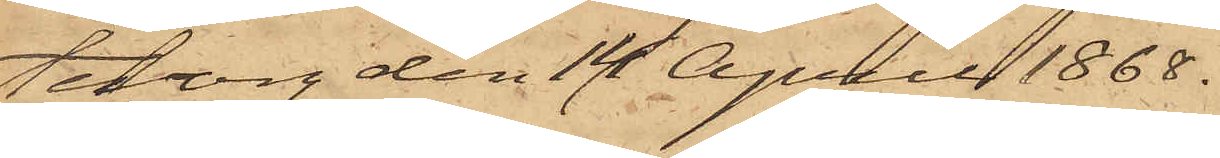teborg den 14 April 1868.
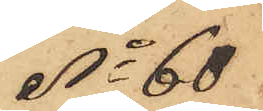No 60
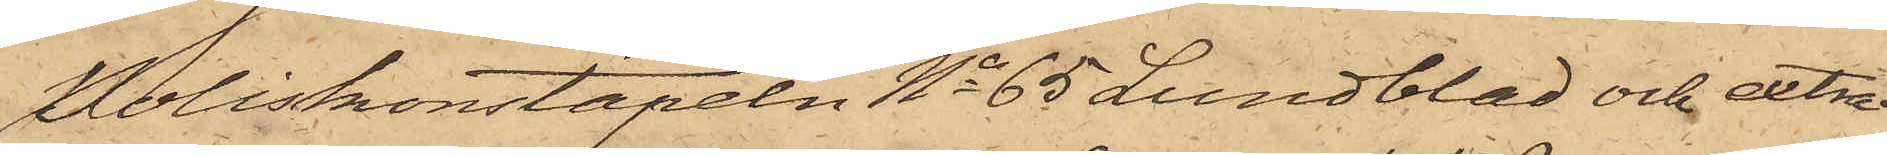Poliskonstapeln No 65 Lundblad och extra¬
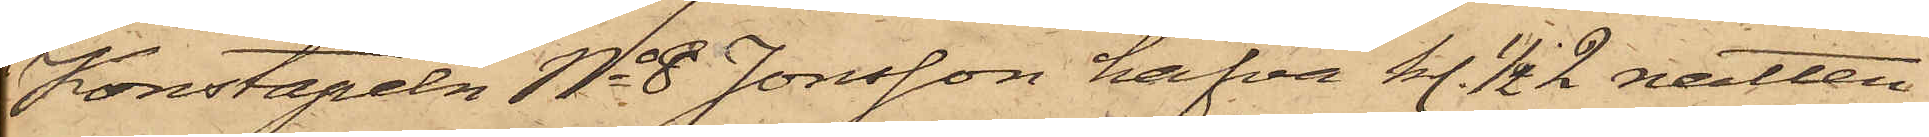Konstapeln No 8 Jonsson hafva kl. 1/2 2 natten
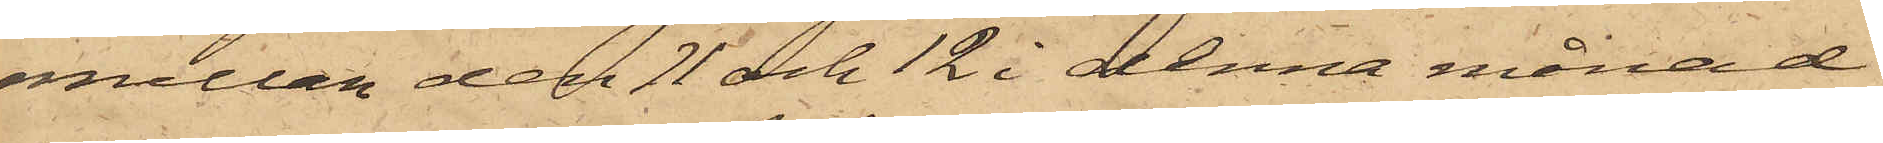mellan den 11 och 12 i denna månad
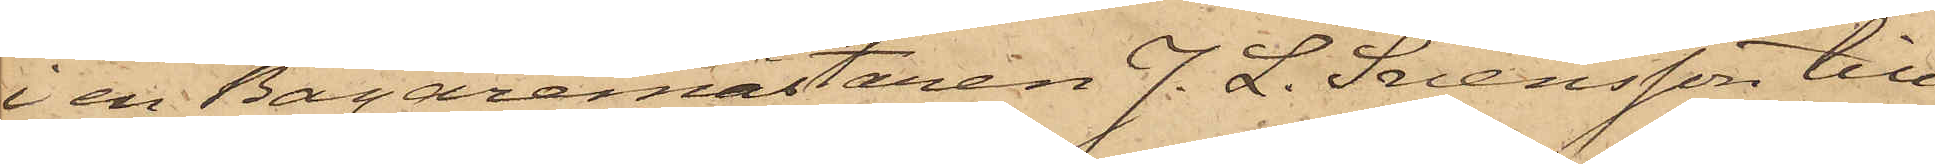i en Bagaremästaren J. L. Svensson till¬
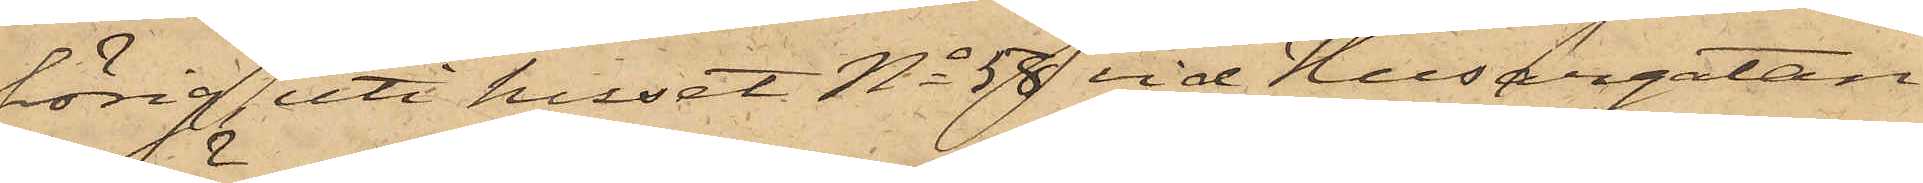hörig uti huset No 58 vid Husargatan
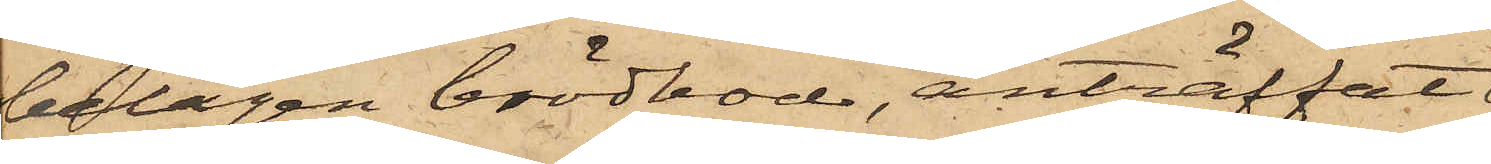belägen brödbod, anträffat
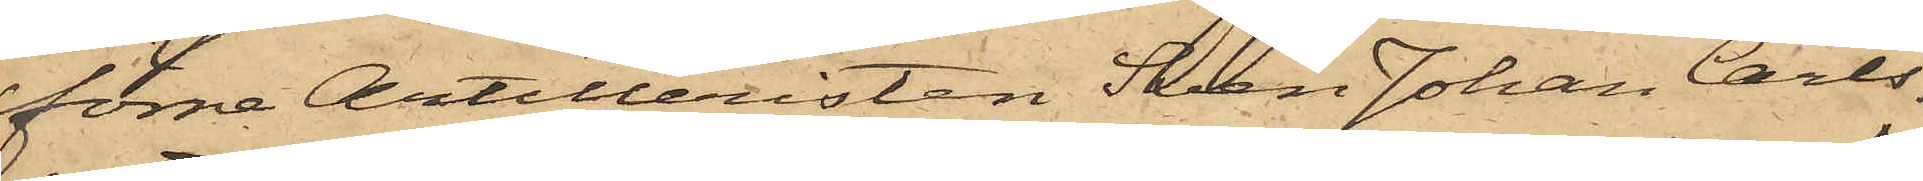förre Artilleristen Sven Johan Carls¬
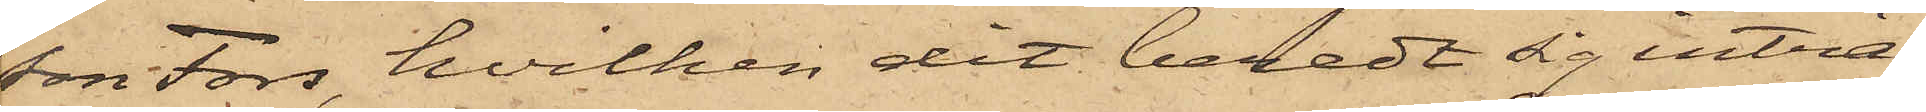son Fors, hvilken dit beredt sig intill¬
